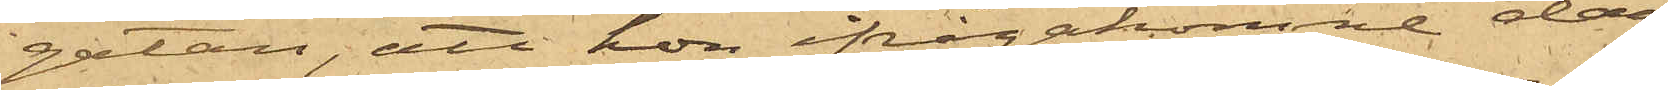gatan, att hon ifrågakomne dag
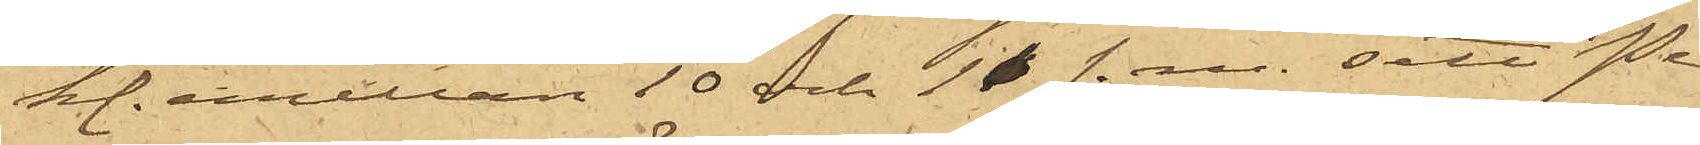kl. emellan 10 och 11 f. m. sett Pe¬
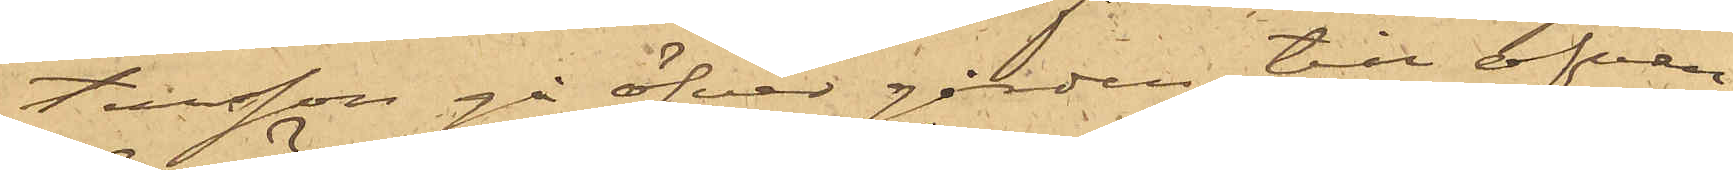tersson gå öfver gården till ofvan¬
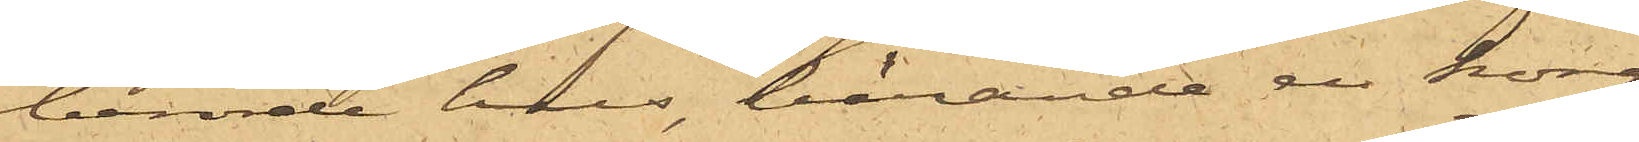berörde hus, bärande en korg
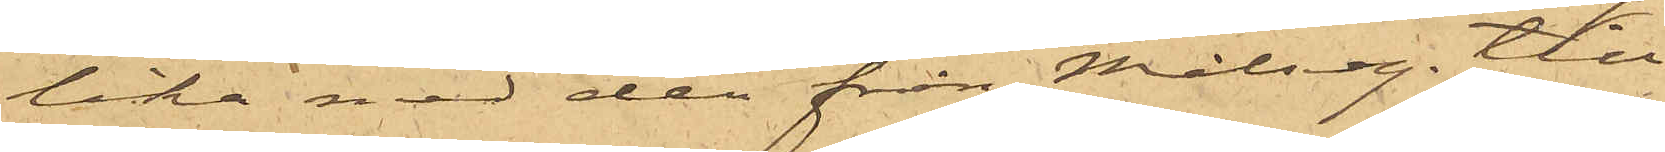lika med den från Målseg, till¬
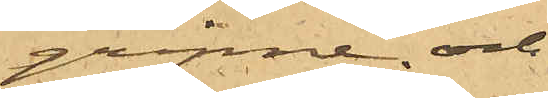gripne, och
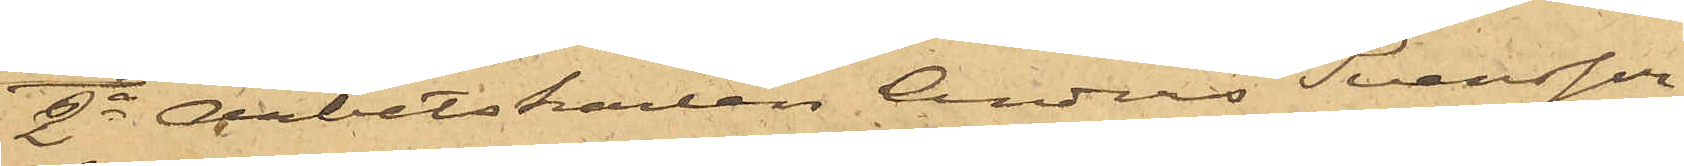2o Arbetskarlen Anders Svensson,
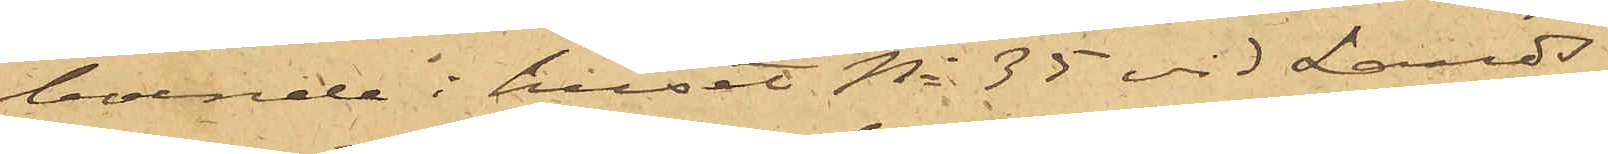boende i huset No 35 vid Lands¬
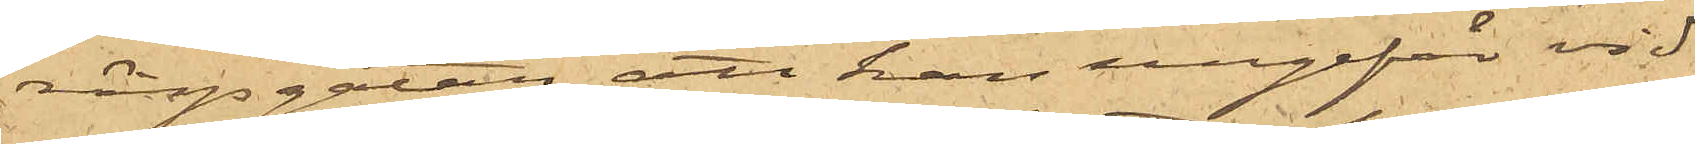vägsgatan, att han ungefär vid
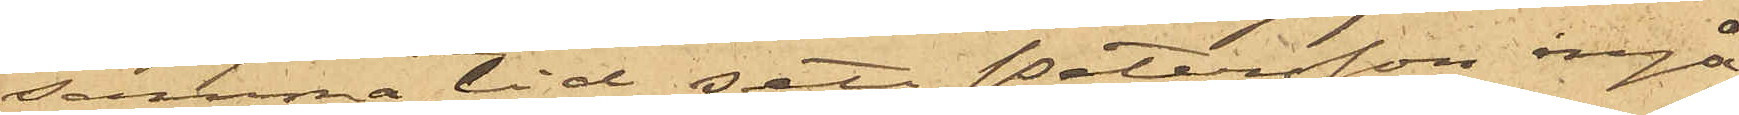samma tid sett Petersson ingå
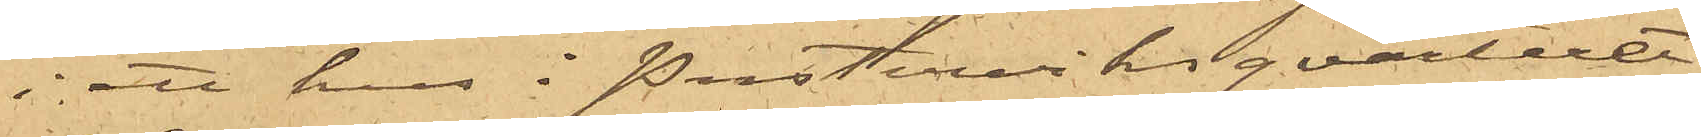i ett hus i Pusterviksqvarteret
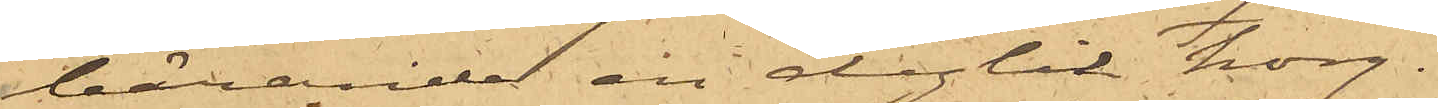bärande en dylik korg.
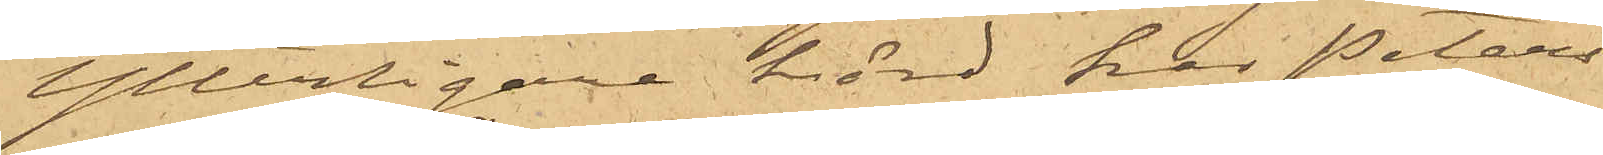Ytterligare hörd, har Peters¬
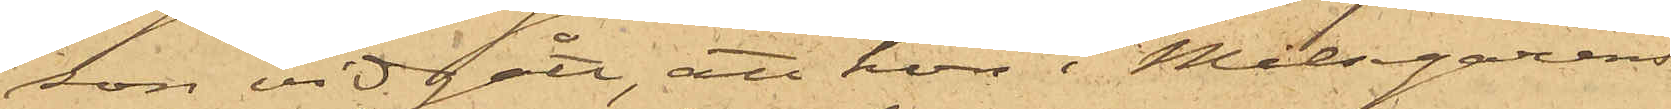son vidgått, att hon i Målsegarens
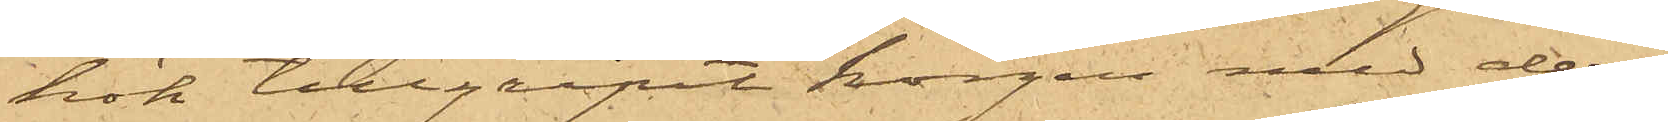kök tillgripit korgen med deri
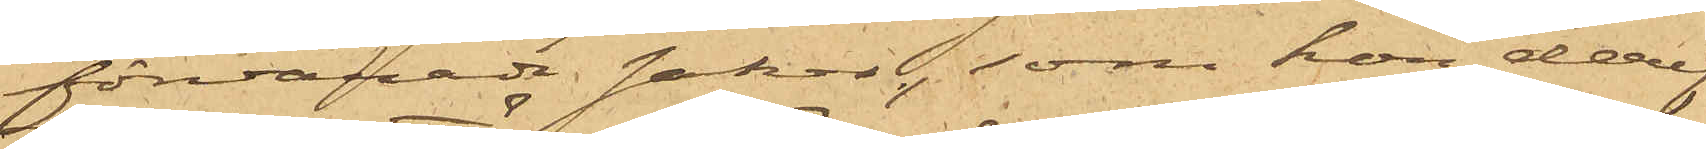förvarade saker, som hon deref¬
